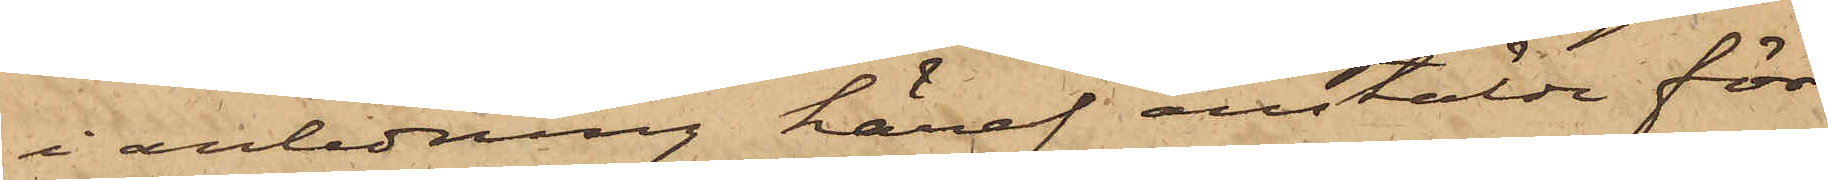i anledning häraf anstälde för¬
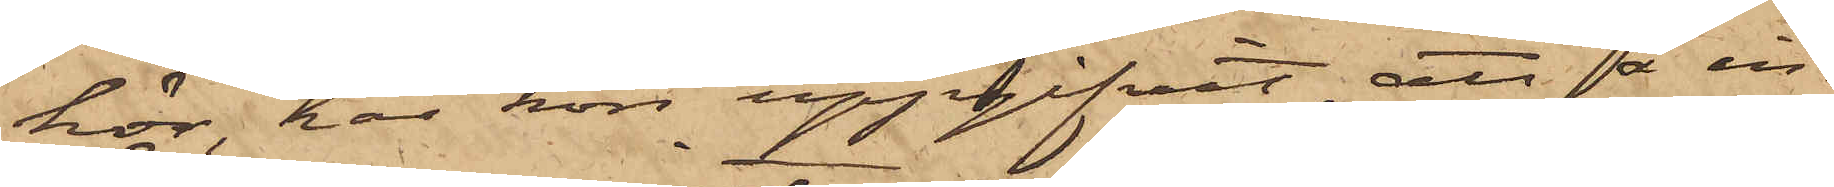hör, har hon uppgifvit, att å in¬
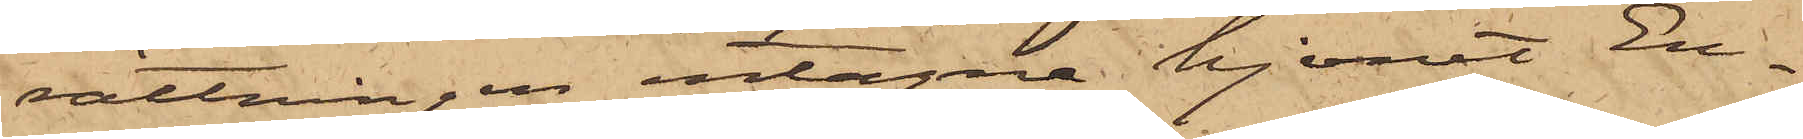rättningen intagne hjonet En¬
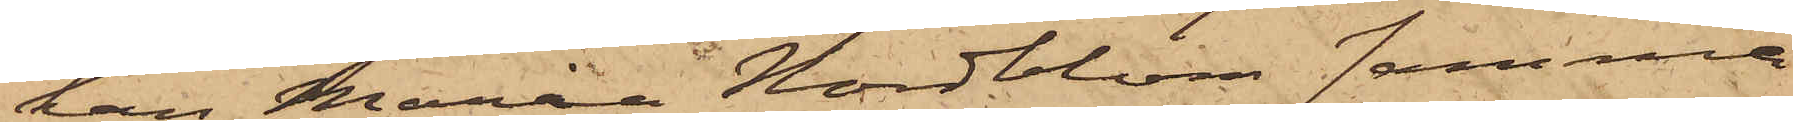kan Maria Nordblom samma
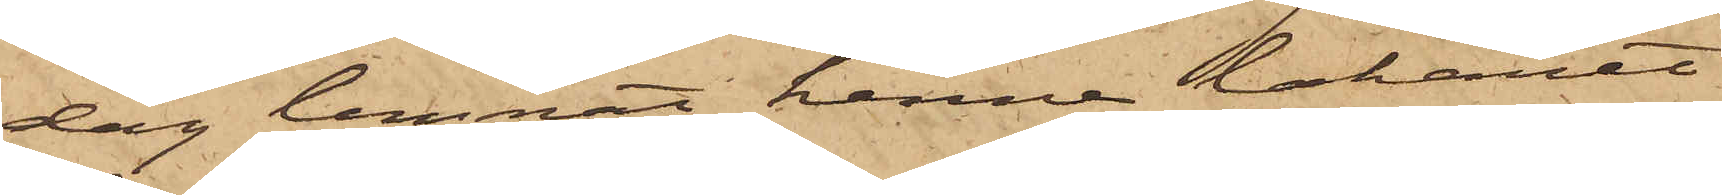dag lemnat henne lakanet
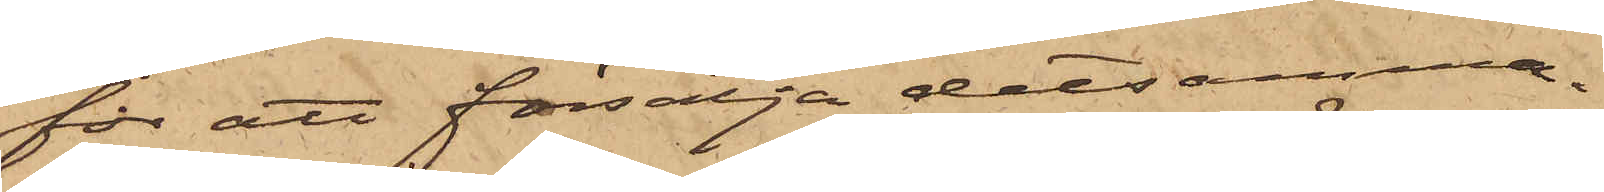för att försälja detsamma.
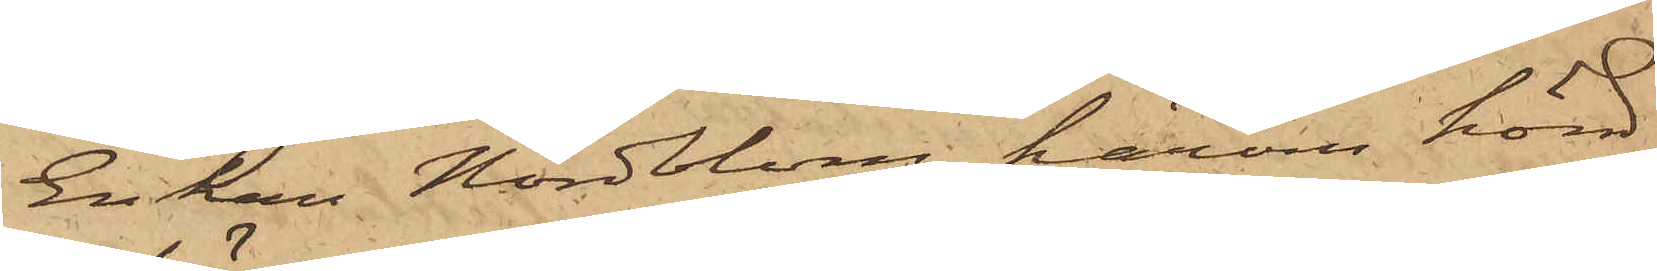Enkan Nordblom härom hörd,
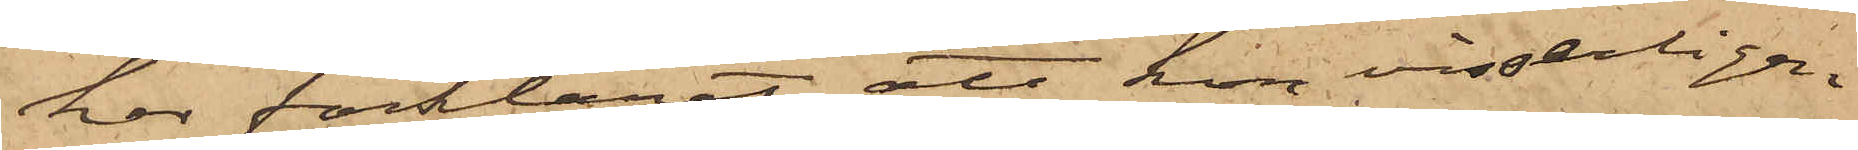har förklarat, att hon visserligen
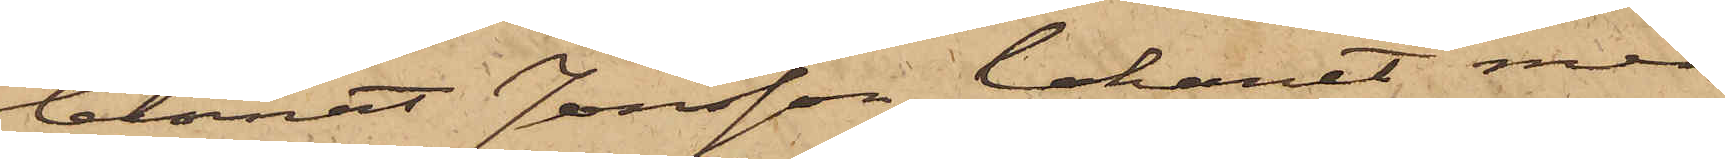lemnat Jonsson lakanet, men
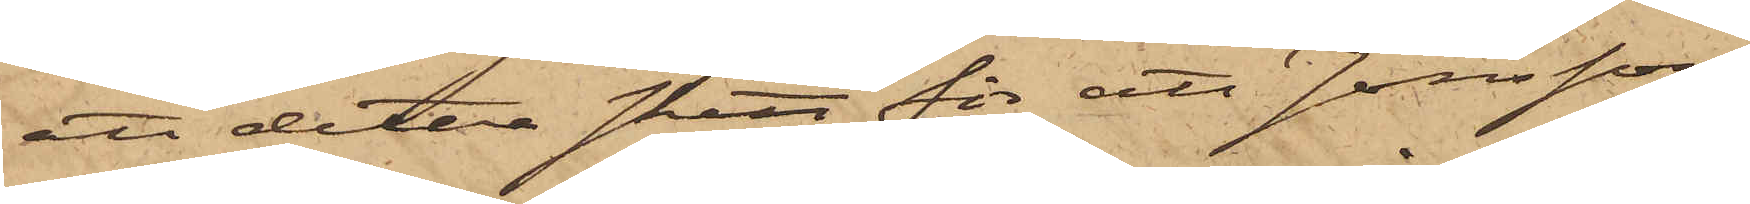att detta skett för att Jonsson,
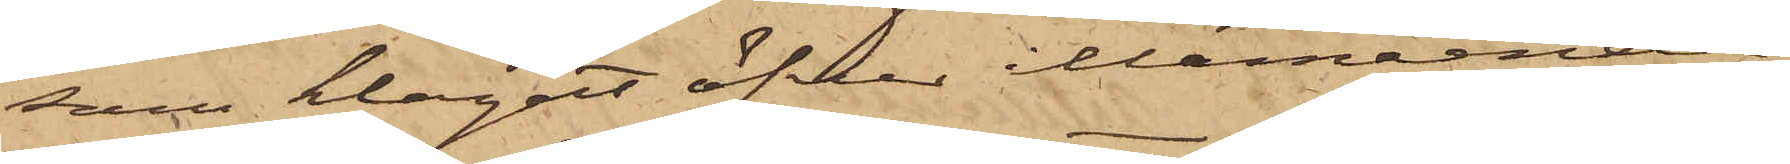som klagat öfver illamående,
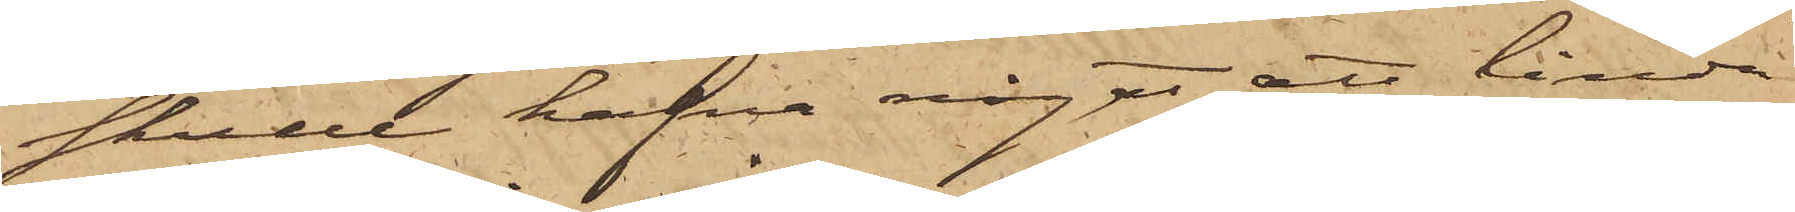skulle hafva något att linda
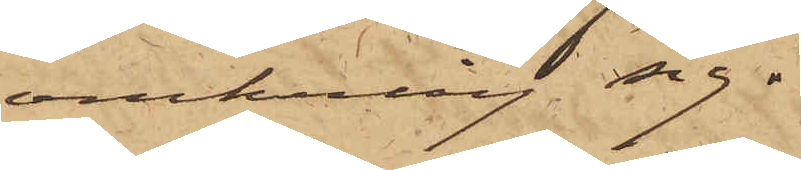omkring sig.
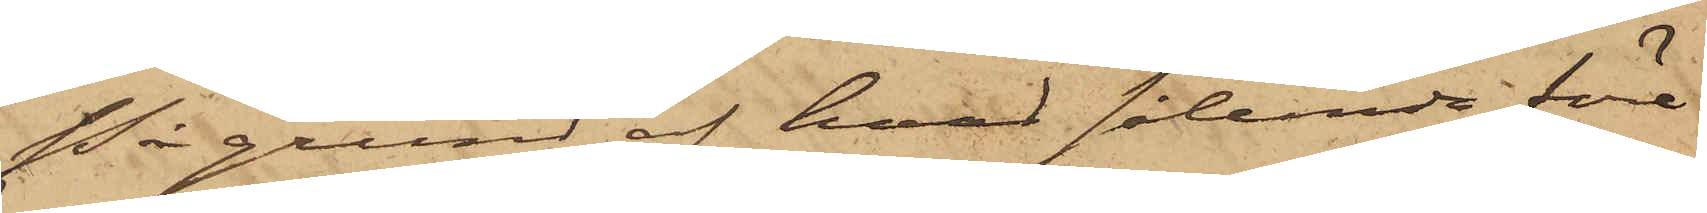På grund af hvad sålunda före¬
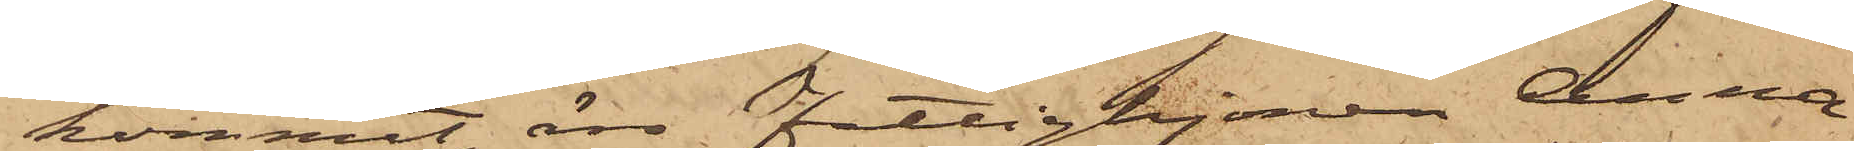kommit, äro Fattighjonen Anna
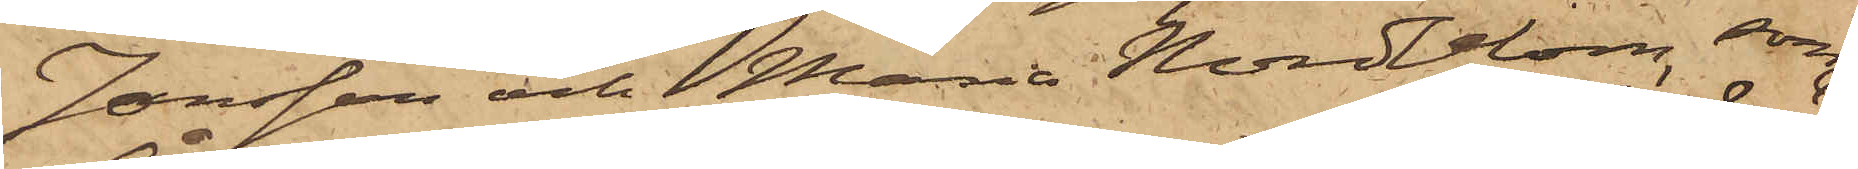Jonsson och Maria Nordblom, som
